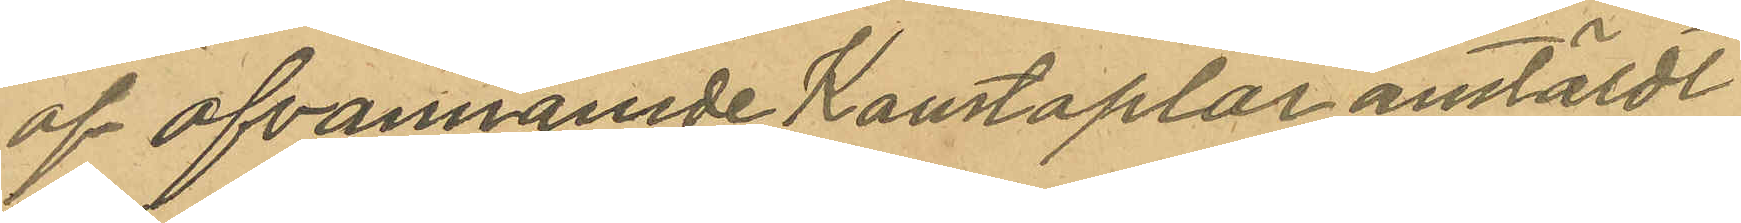af ofvannamde Konstaplar anstäldt
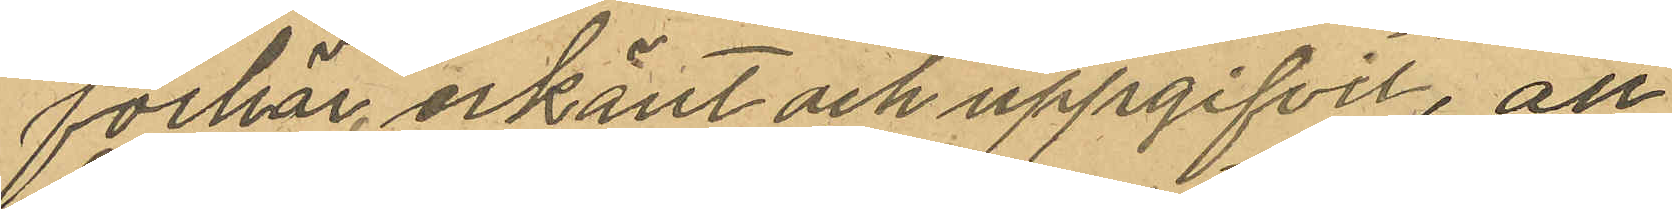förhör, erkänt och uppgifvit, att
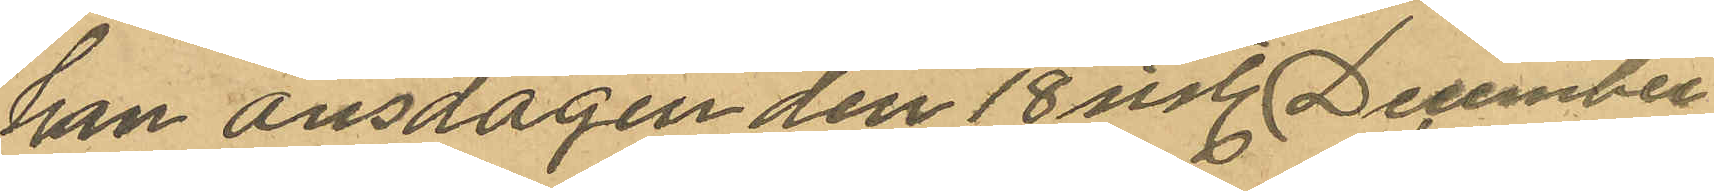han onsdagen den 18 sist. December
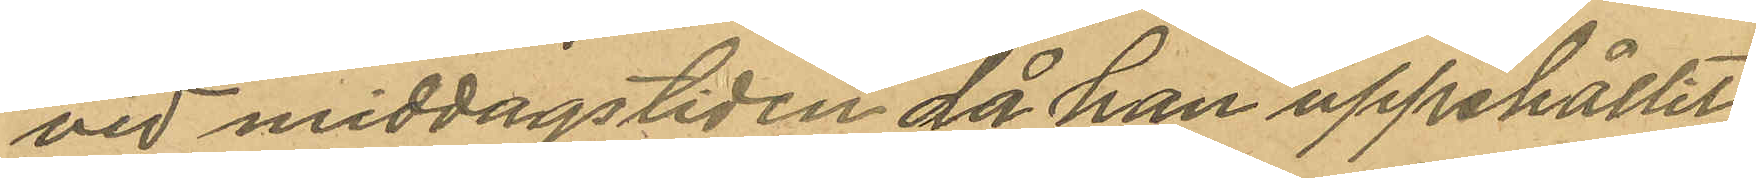vid middagstiden då han uppehållit
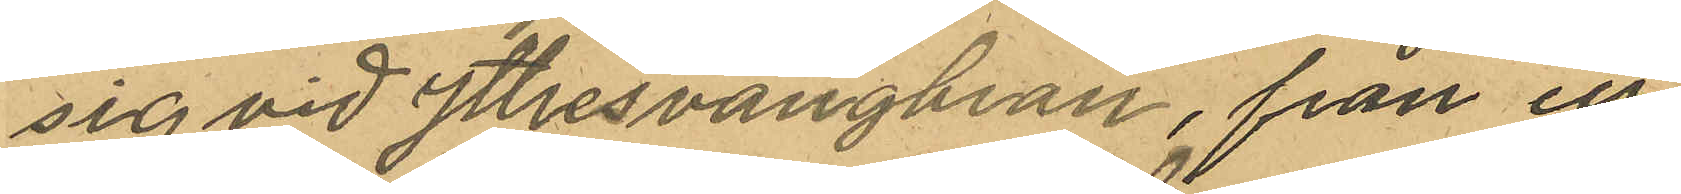sig vid yttresvängkran, från ett
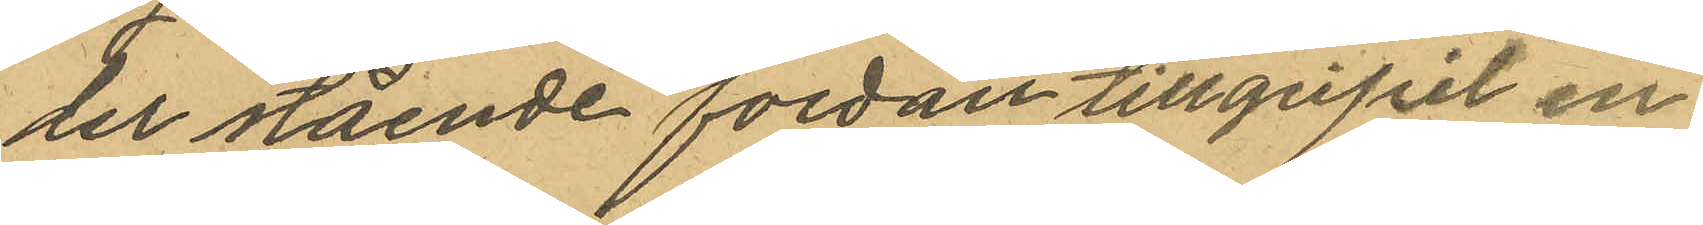der stående fordon tillgripit en
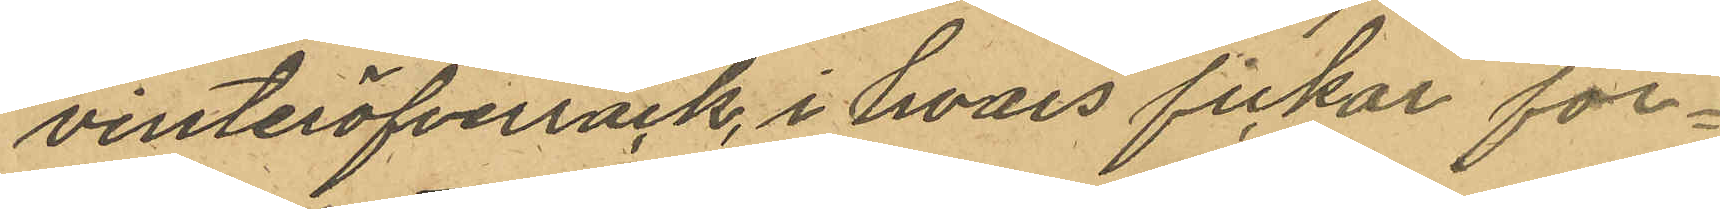vinteröfverrock, i hvars fickor för¬
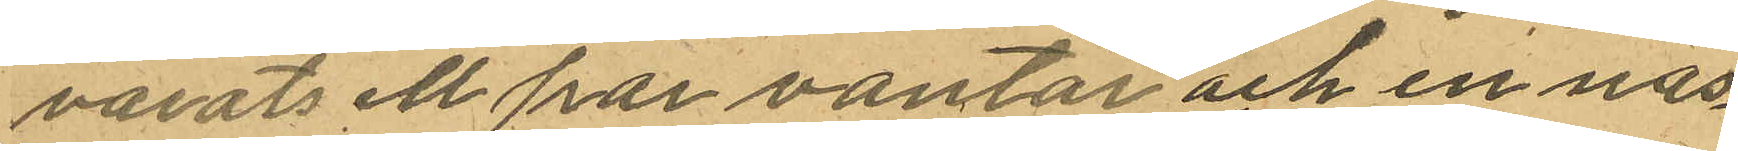varats ett par vantar och en näs¬
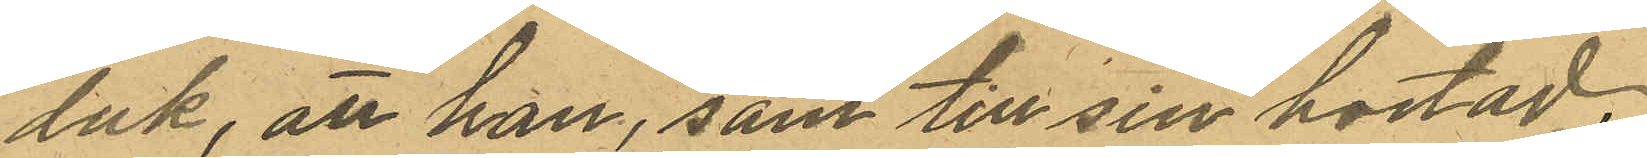duk, att han, som till sin bostad,
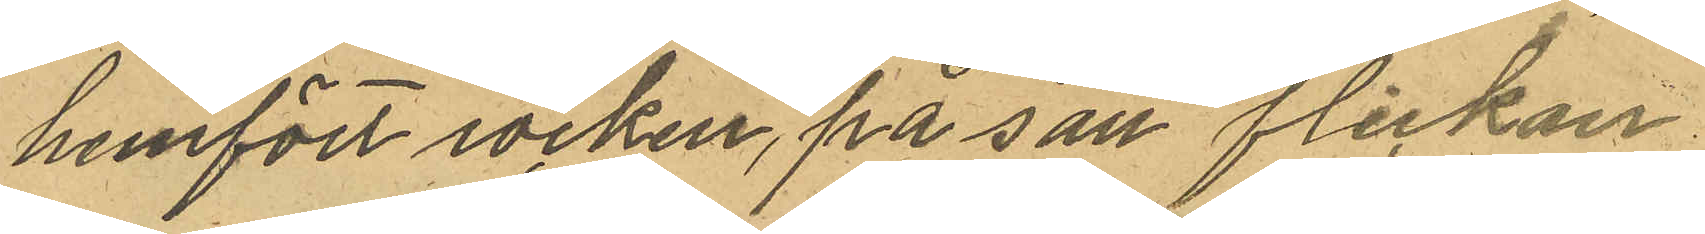hemfört rocken, på sätt flickan
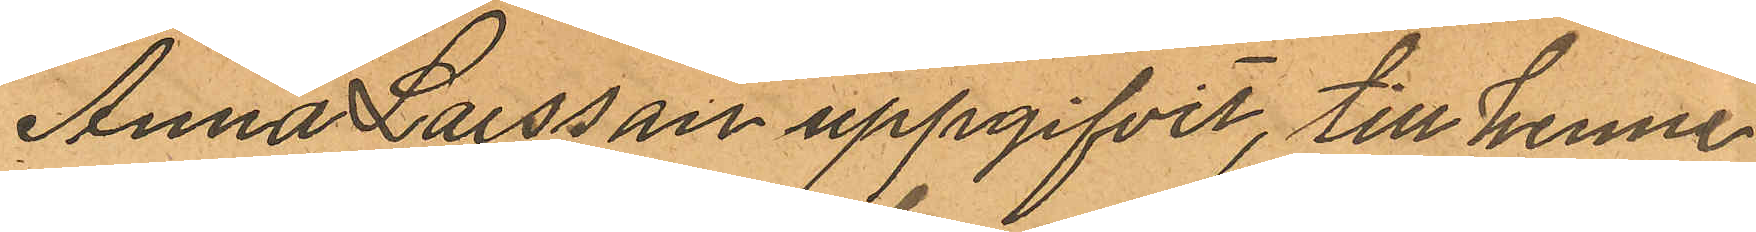Anna Larsson uppgifvit, till henne
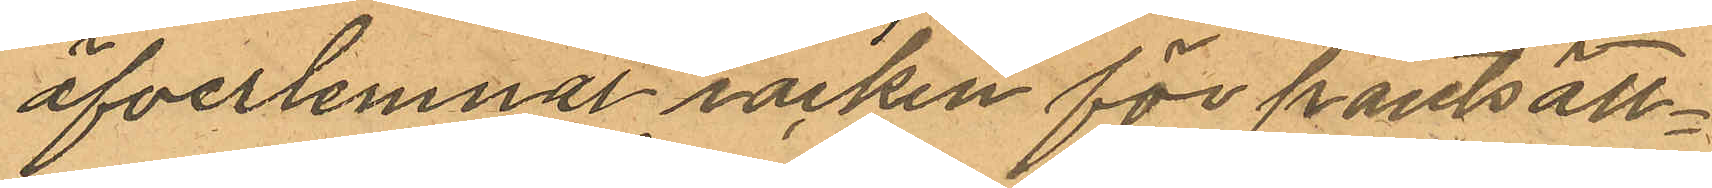öfverlemnat rocken för pantsätt¬
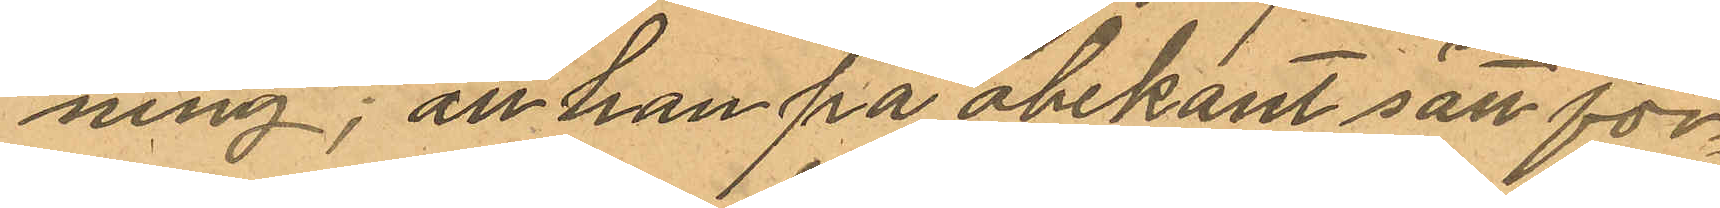ning; att han på obekant sätt för¬
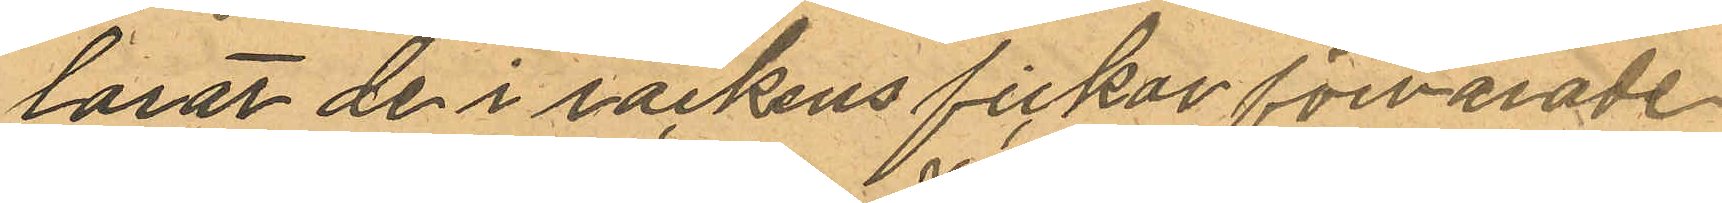lorat de i rockens fickor förvarade
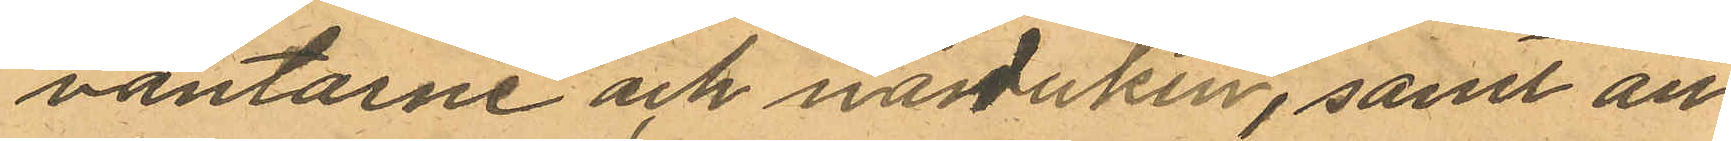vantarne och näsduken, samt att
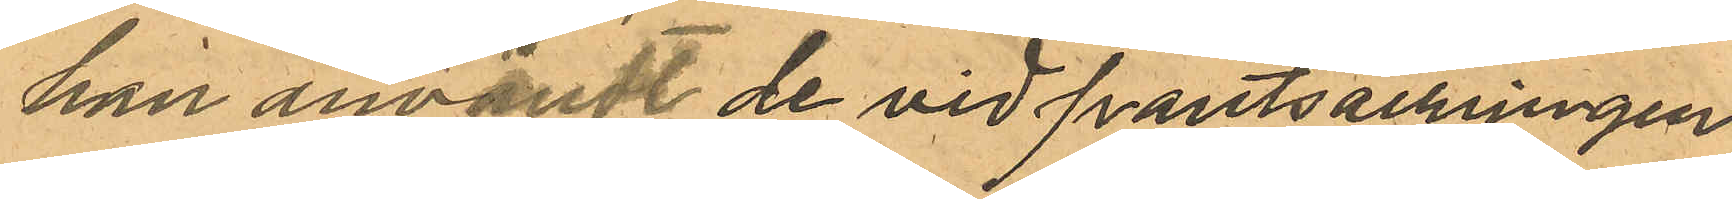han användt de vid pantsättningen
